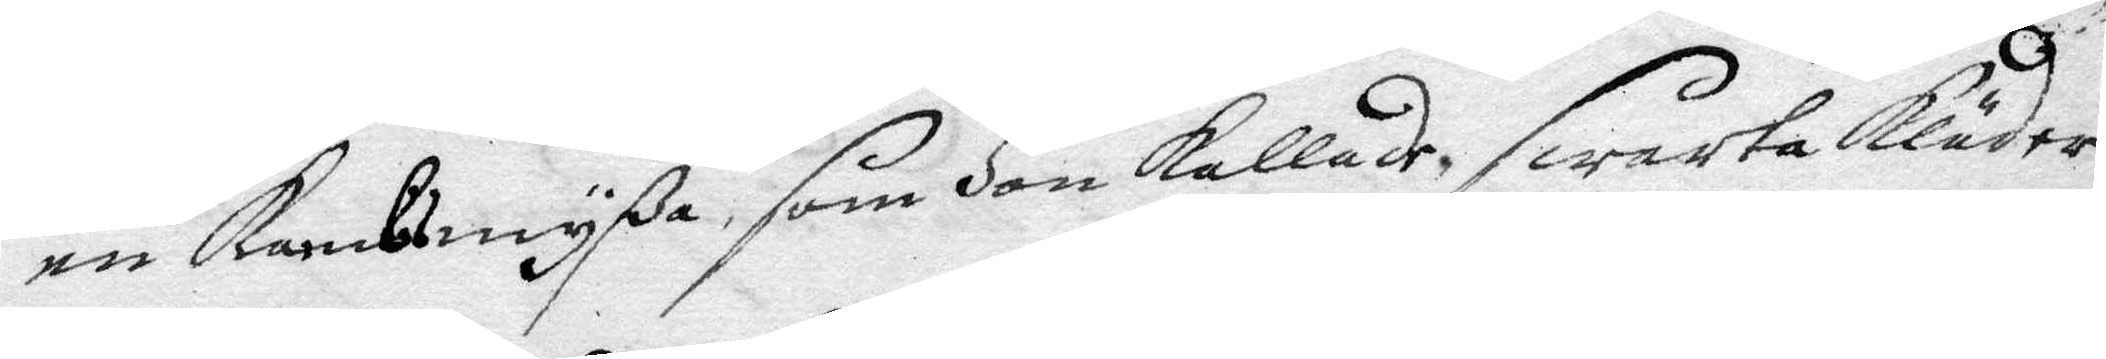en kambsmyßa, som Hon kallade, swarta kläder
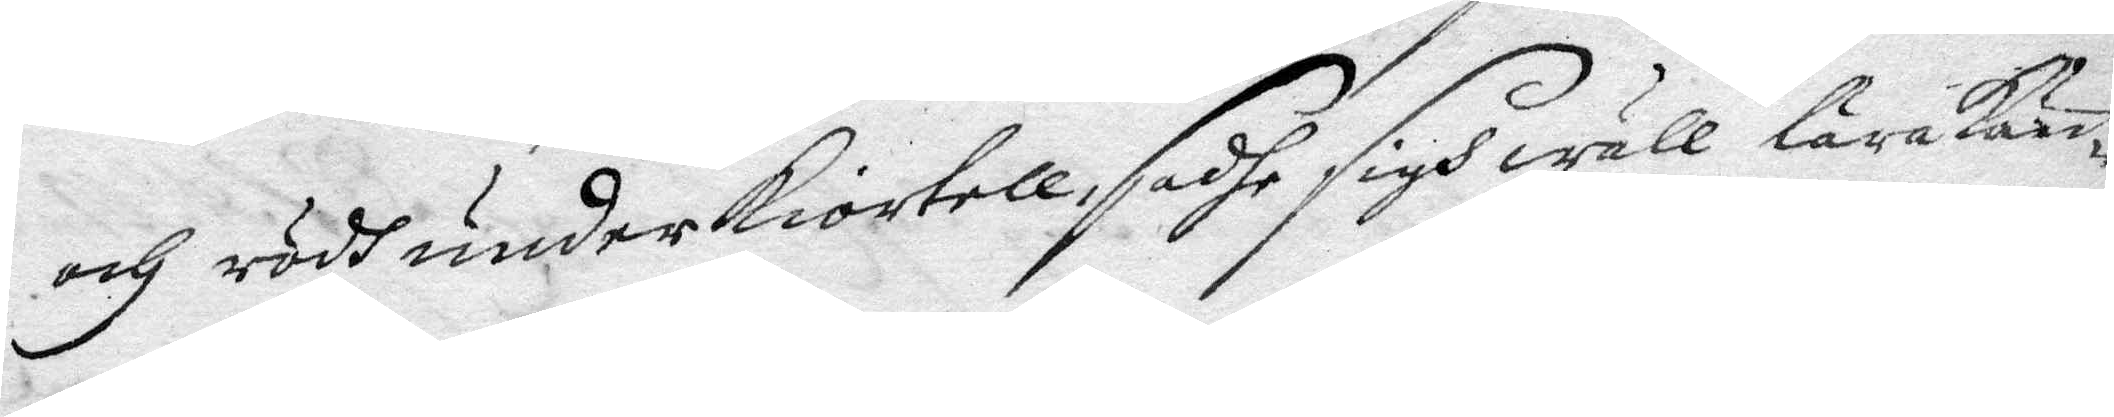och rödh underkiortell, sadhe sigh wäll lära kän¬
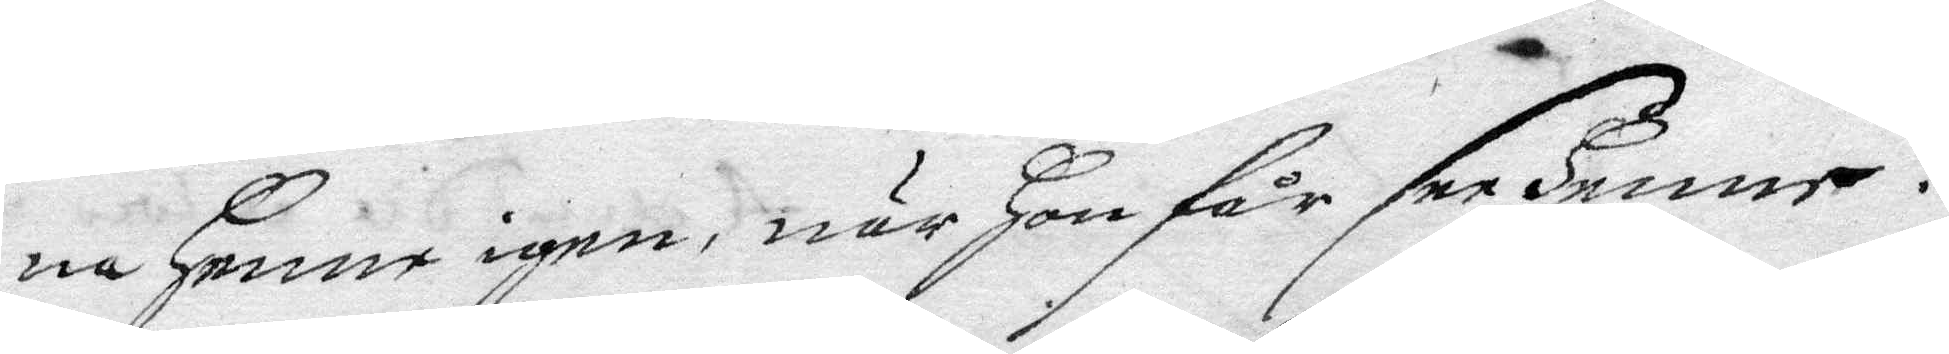na Henne igen, när Hon får see Henne:
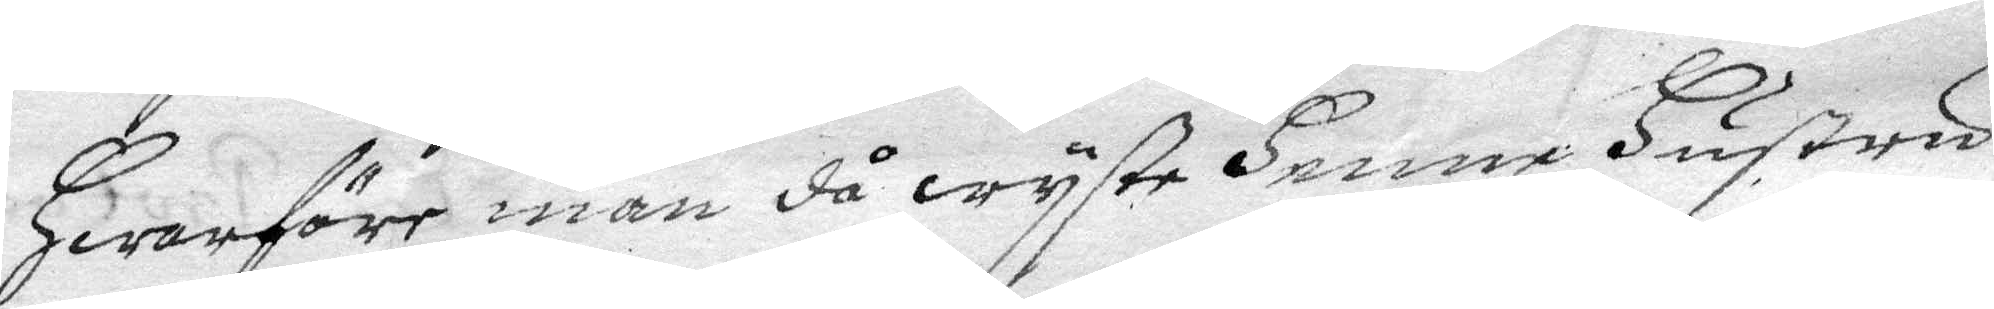Hwarföre man då wyste Henne Hustru
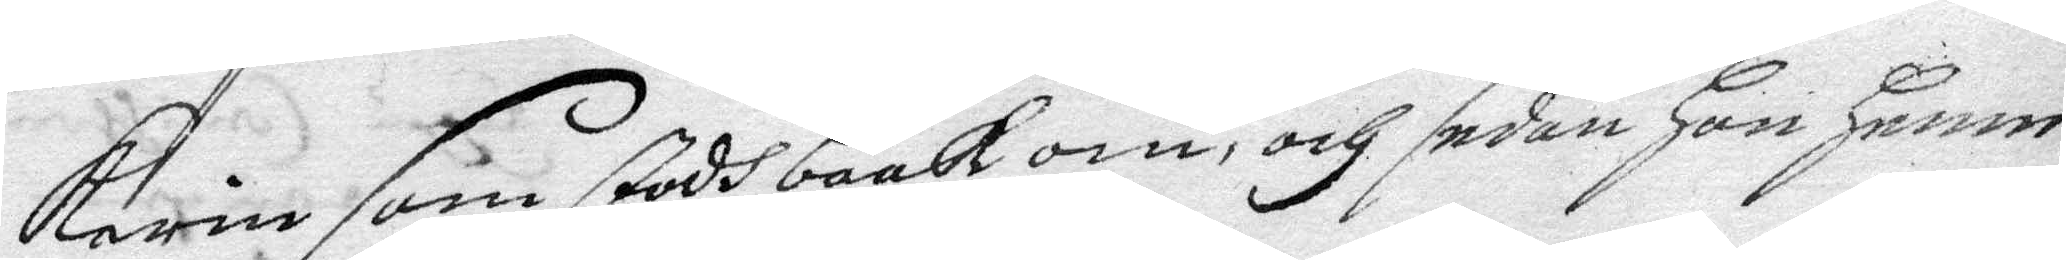karin som stodh baakom, och sedan Hon Henne
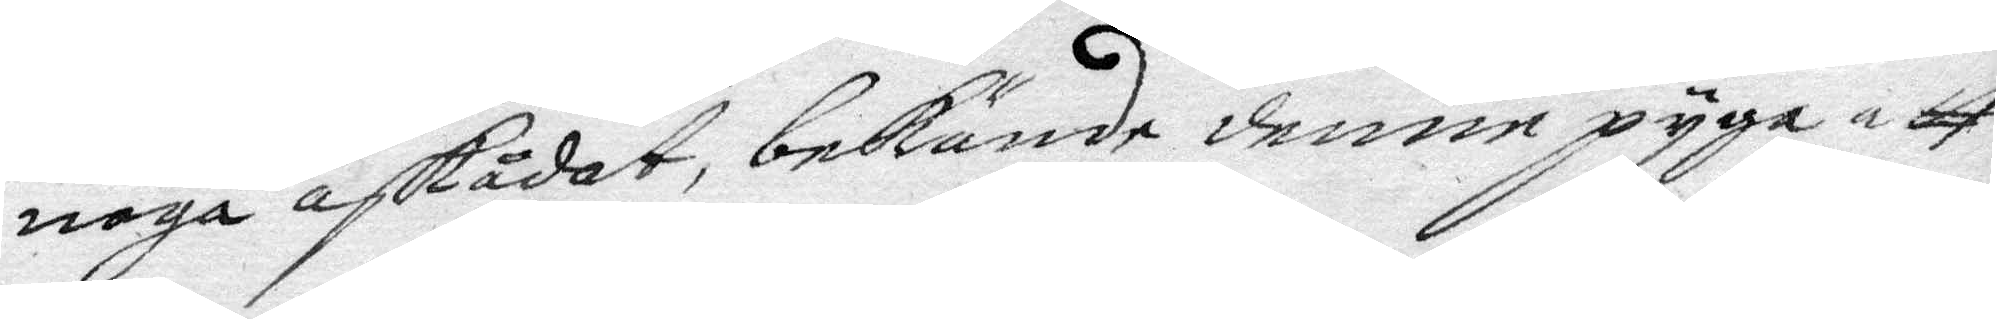noga åskådat, bekände denne pyga att
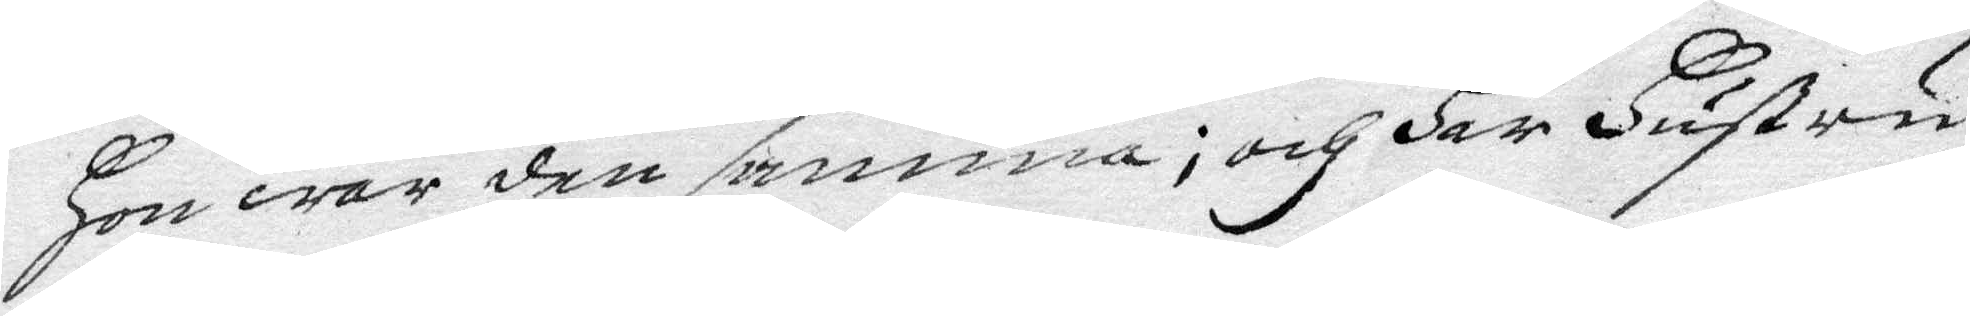Hon war den samma; och Har Hustru
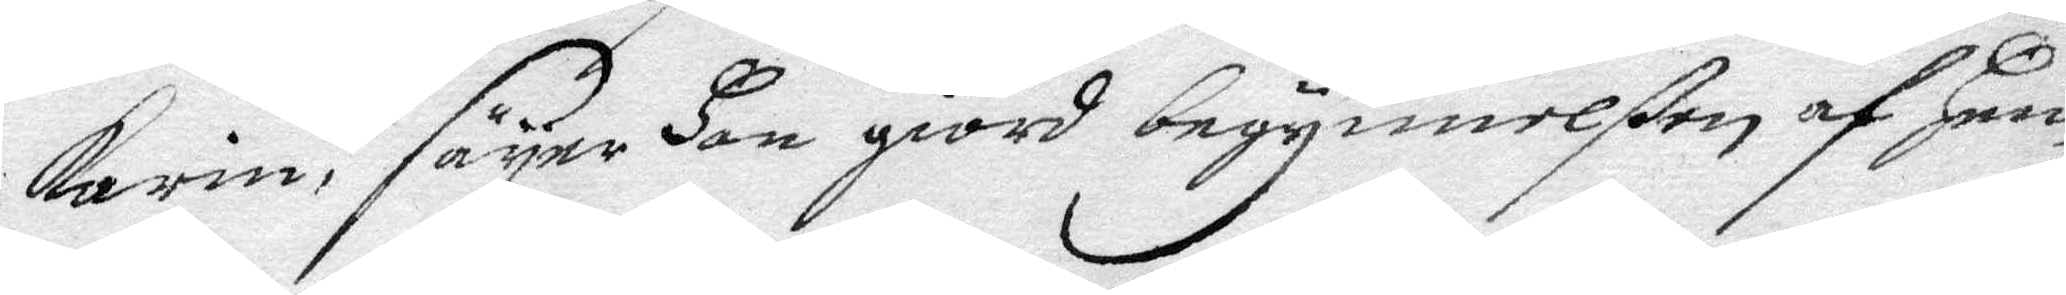Karin, säyer Hon giord begynnelßen af Hen¬
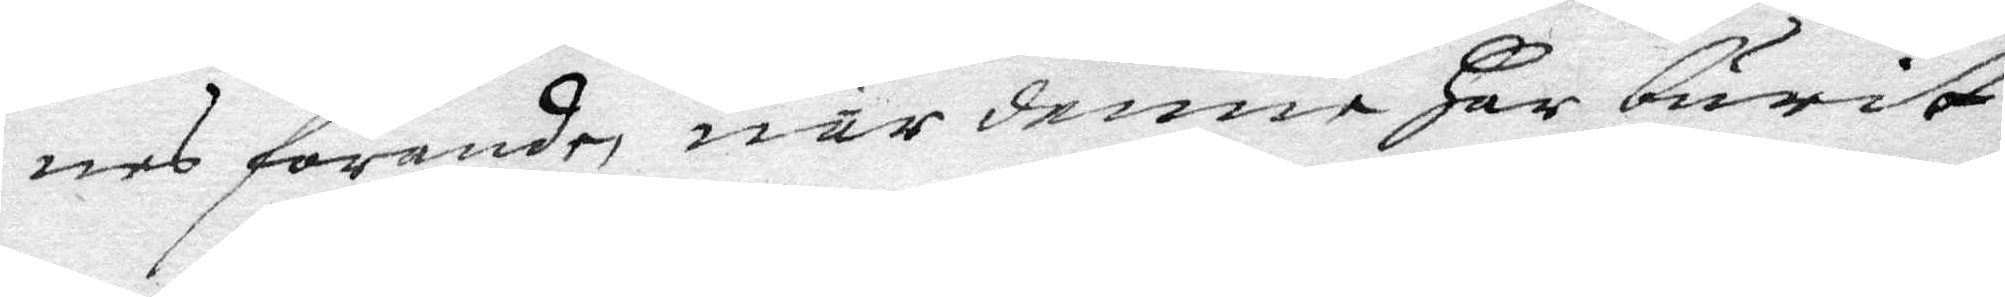nes förande, när denne Har burit
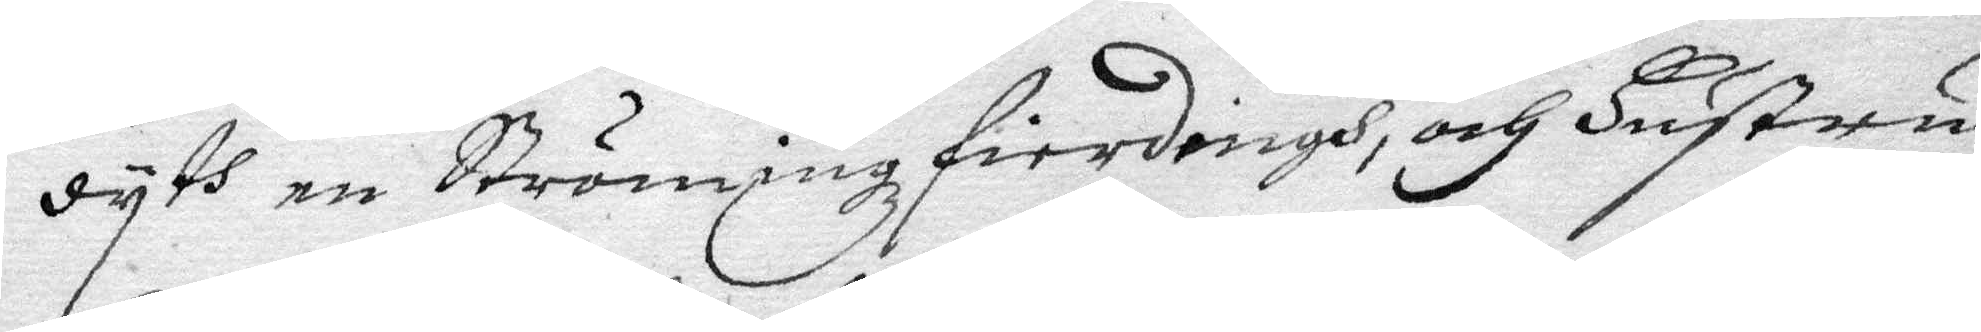dyth en Strömingzfierdingh, och Hustru
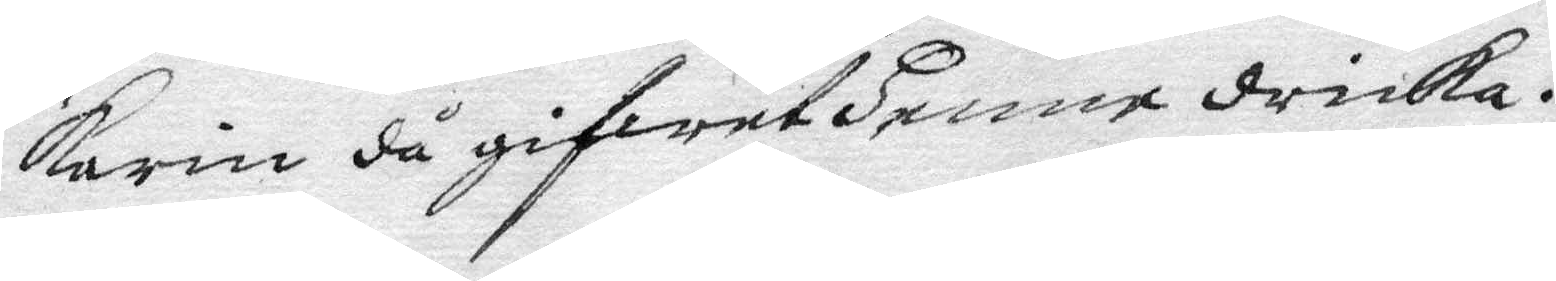Karin då gifwet Henne dricka.
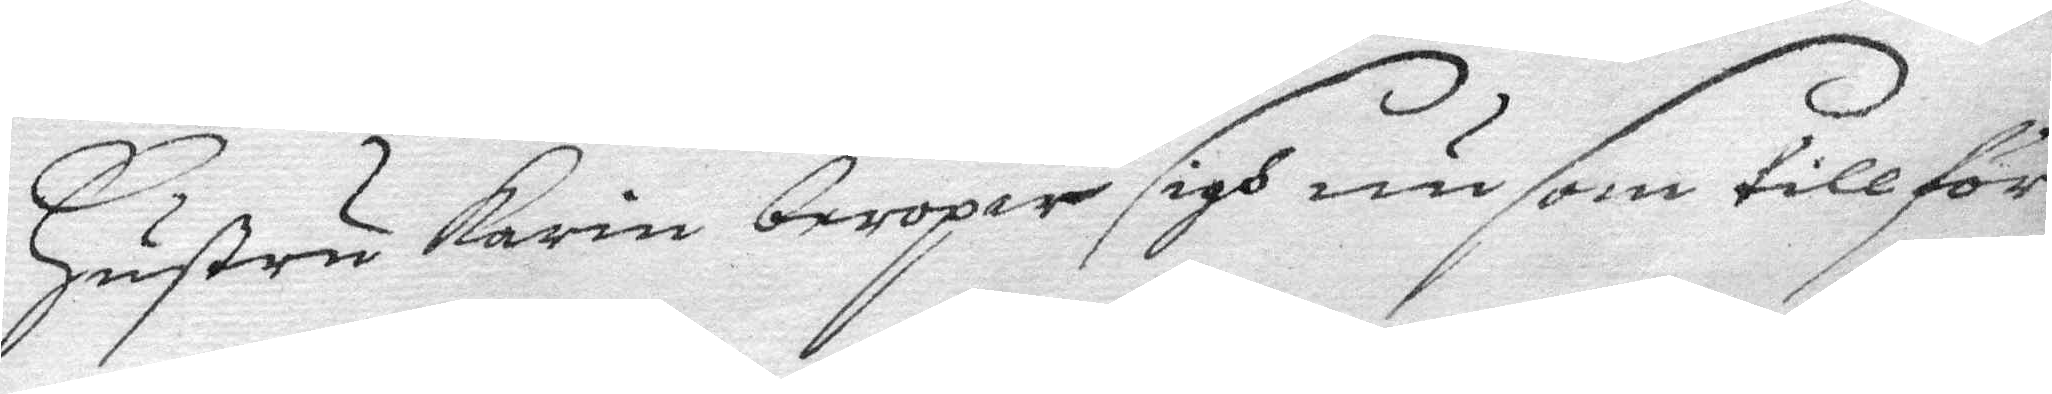Hustru Karin beropar sigh nu som tillför¬
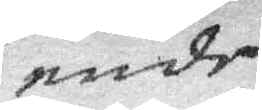ende
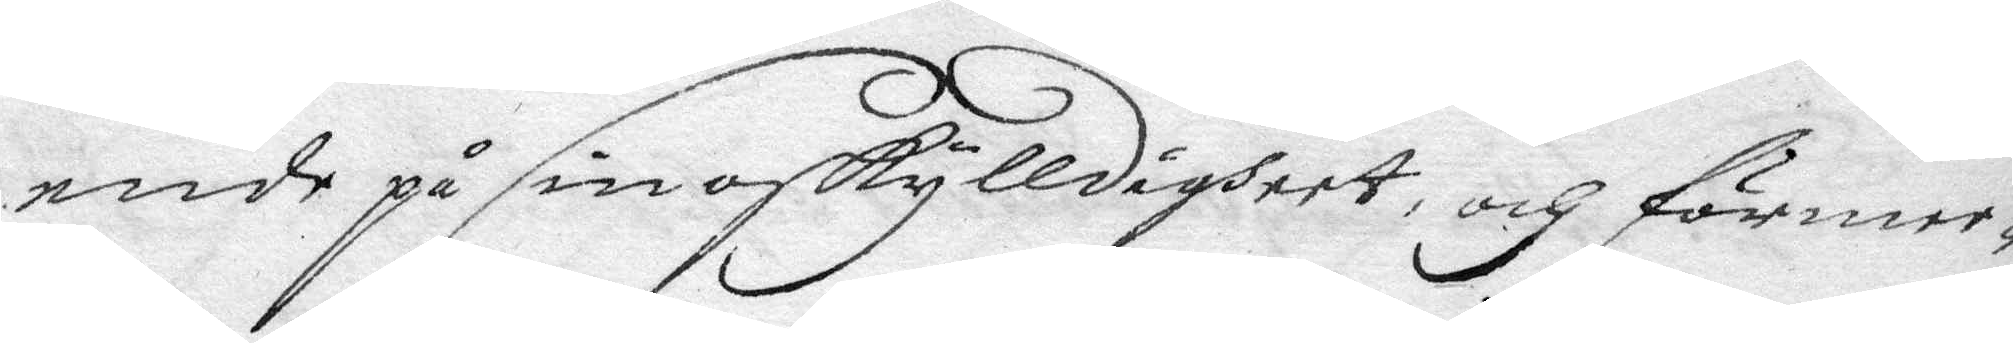ende på sin oskylldigheet, och förmee¬
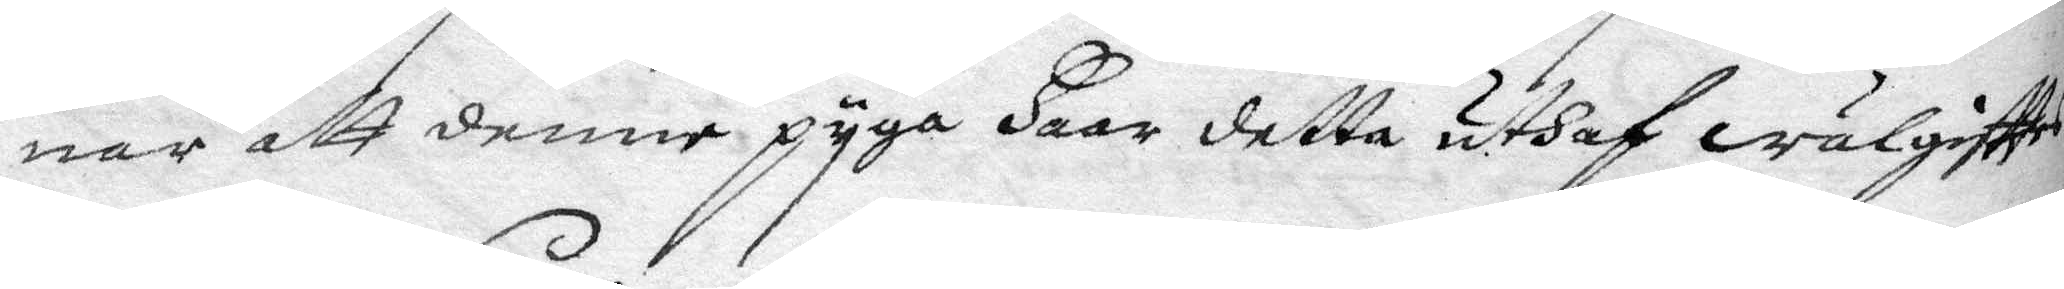nar att denne pyga Haar detta uthaf wälgifttes
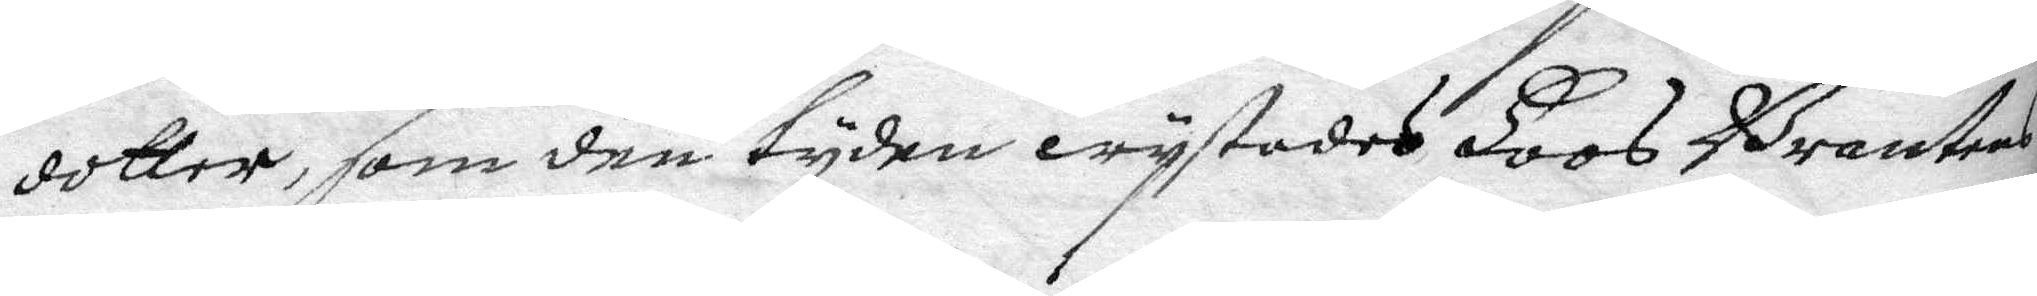dotter, som den tyden wystades Hoos Brantens
